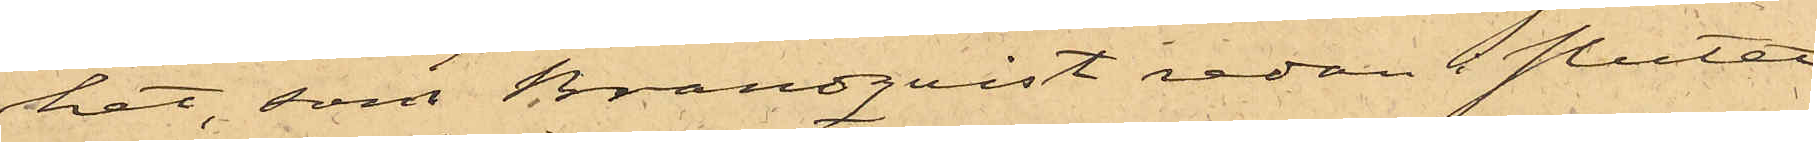het, som Brandqvist redan i slutet
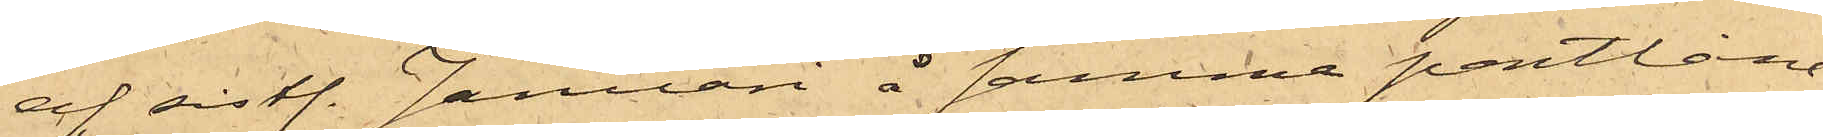af sistl. Januari å samma pantlåne¬
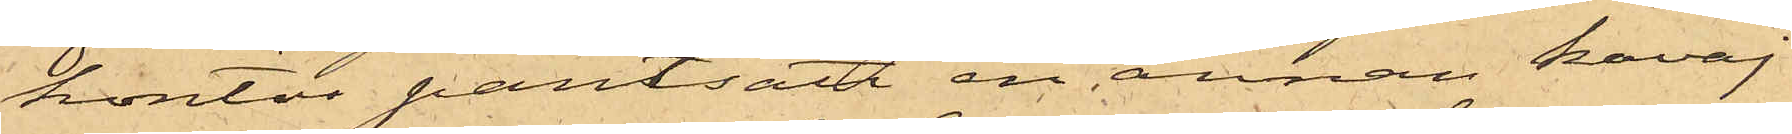kontor pantsatt en annan kavaj
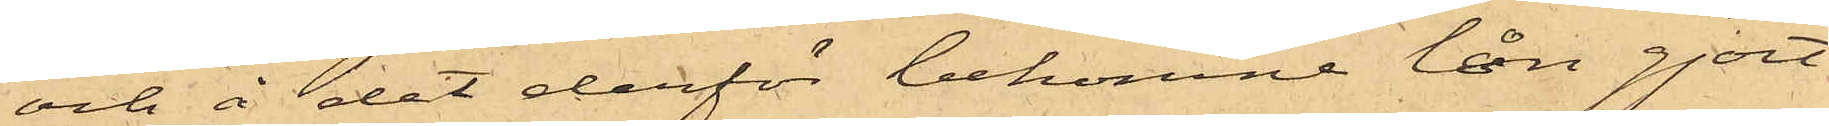och å det derför bekomne lån gjort
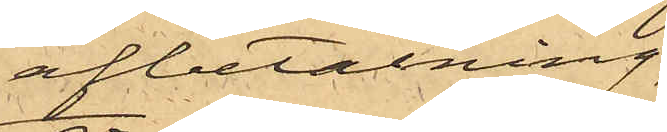afbetalning;
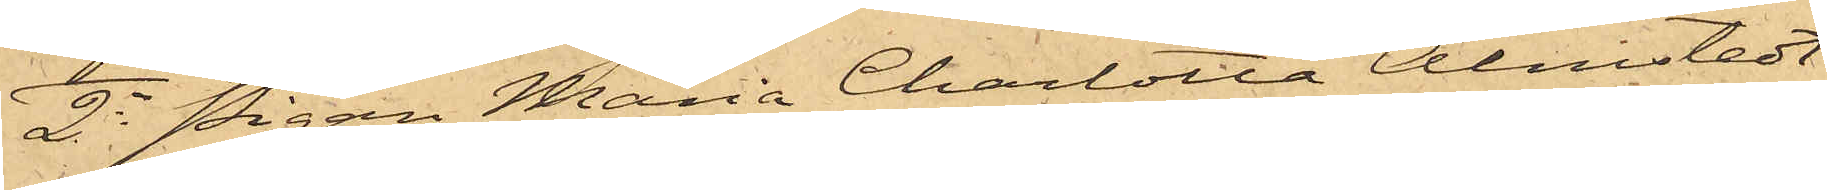2o Pigan Maria Charlotta Almstedt
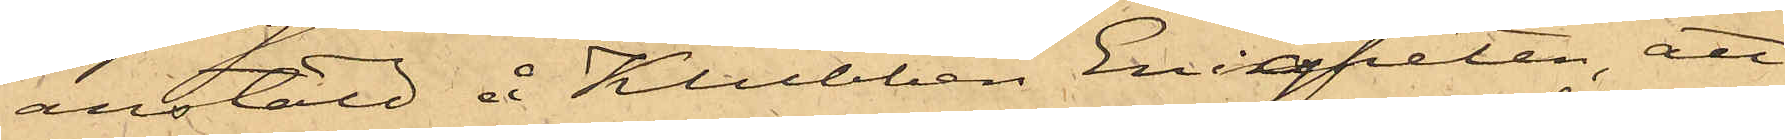anstäld å Klubben Enigheten, att
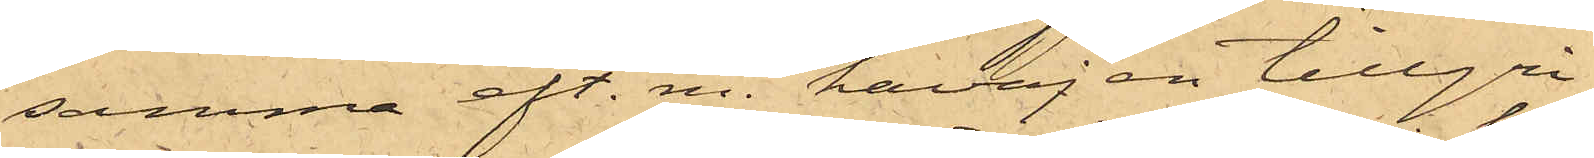samma eft. m. kavajen tillgri¬
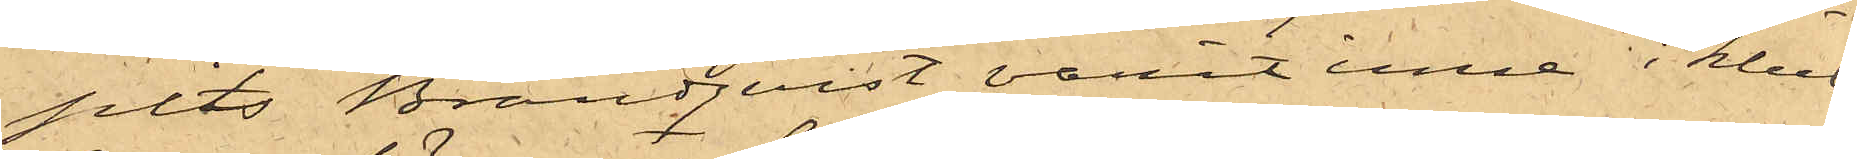pits Brandqvist varit inne i klub¬
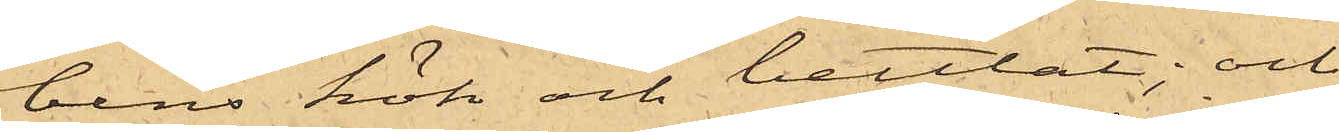bens kök och bettlat; och
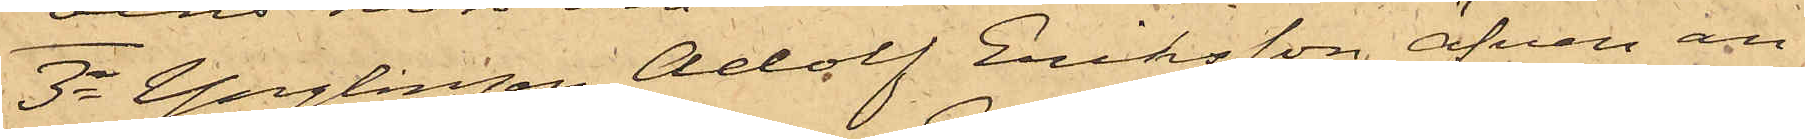3o Ynglingen Adolf Eriksson, äfven an¬
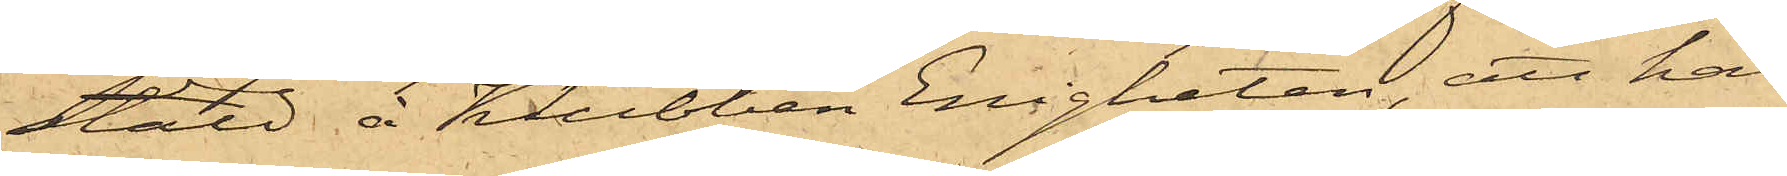stäld å Klubben Enigheten, att han
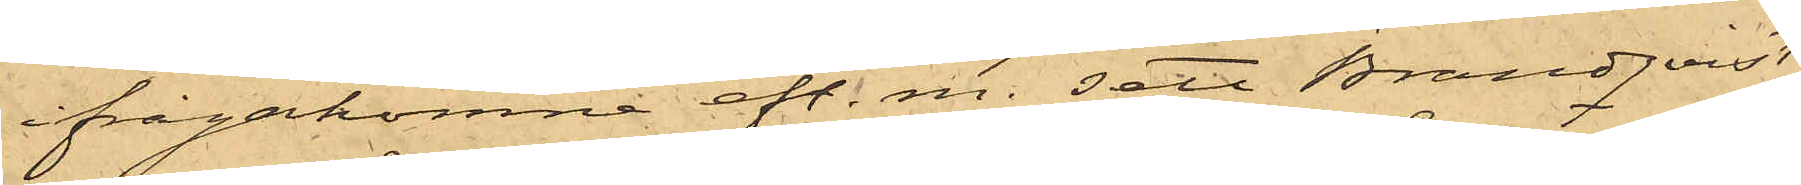ifrågakomne eft. m. sett Brandqvist
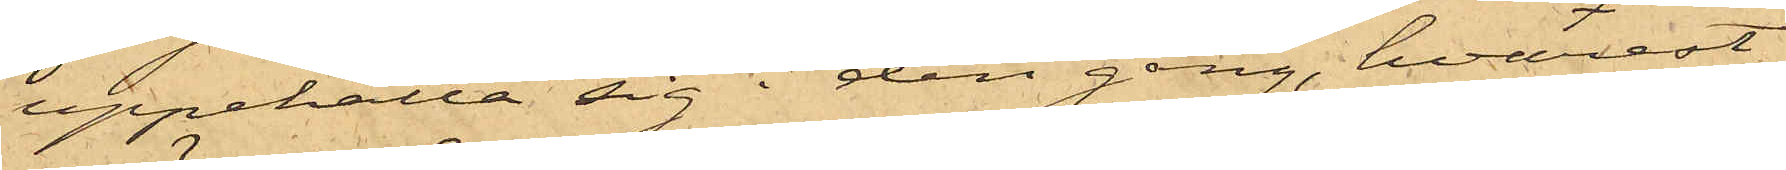uppehålla sig i den gång, hvarest
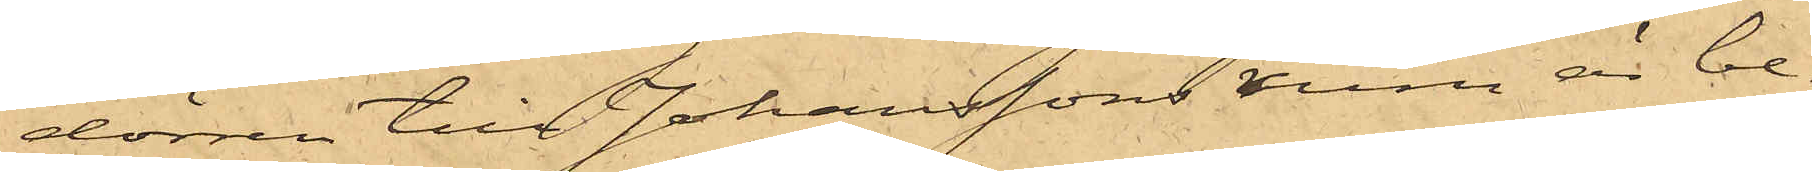dörren till Johanssons rum är be¬
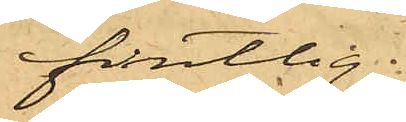fintlig.
